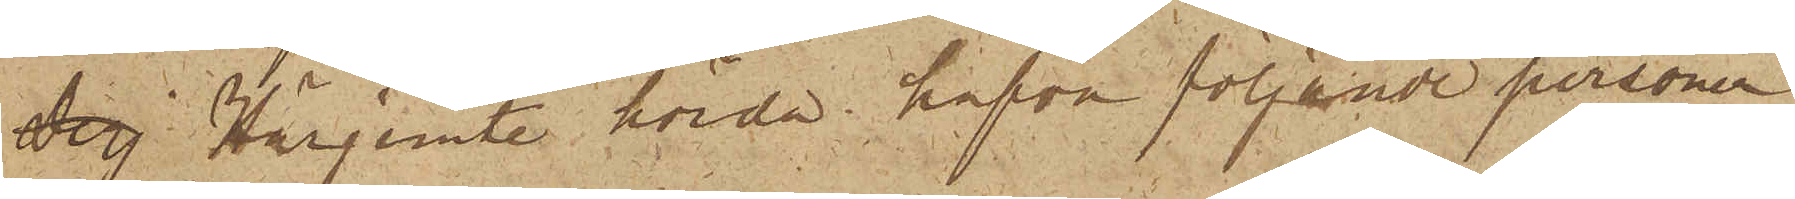Derj Härjemte hörda hafva följande personer
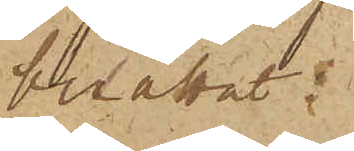berättat:
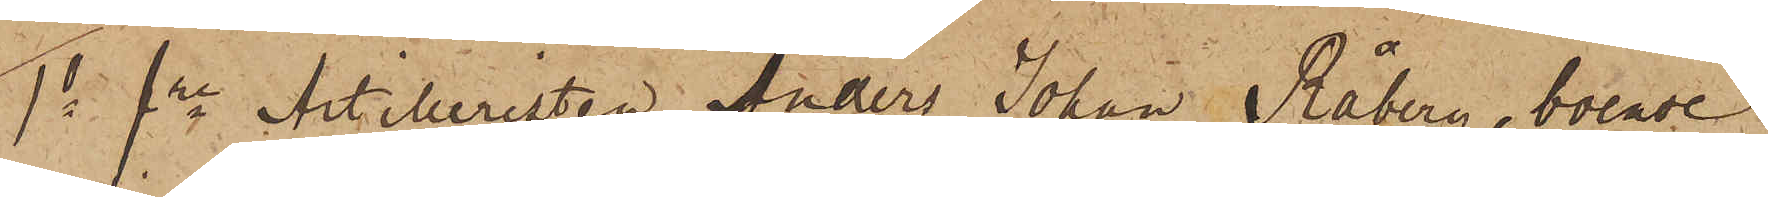1o fre Artilleristen Anders Johan Råberg, boende
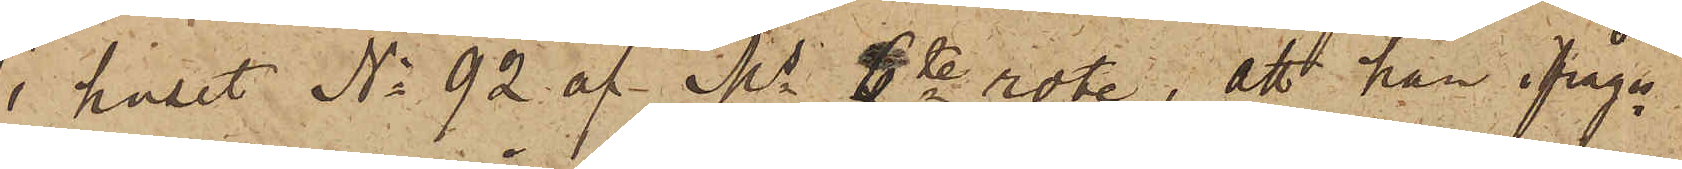i huset No 92 af Ms 6te rote; att han ifråga¬
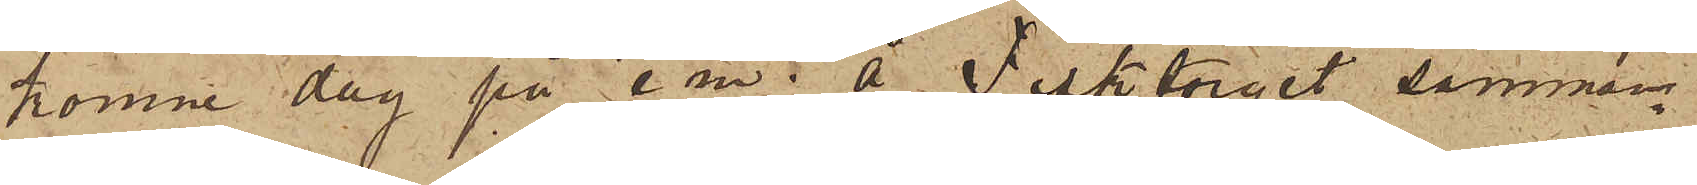komne dag på e m. å Fisktorget samman¬
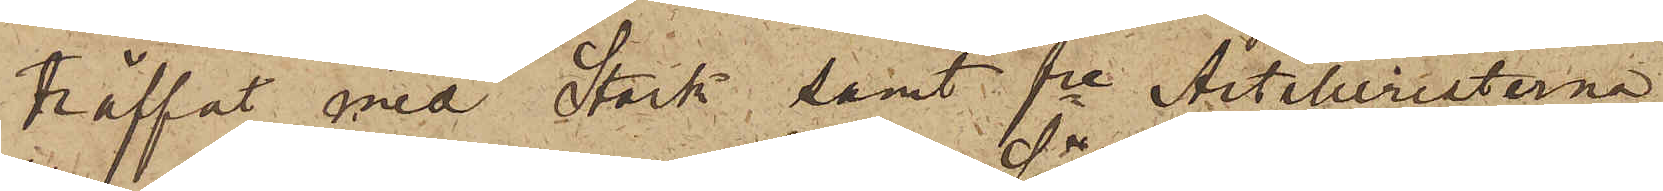träffat med Stark, samt fre Artilleristerna
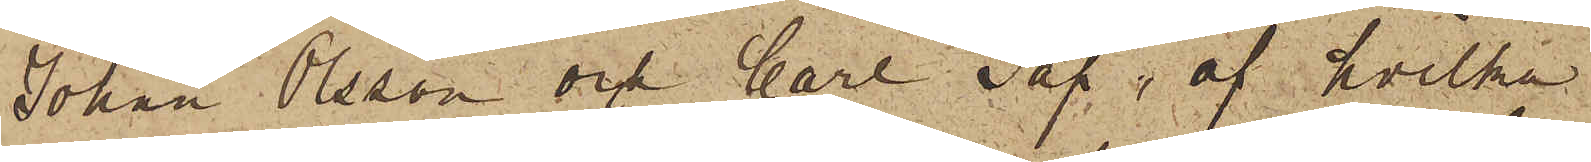Johan Olsson och Carl Säf, af hvilka
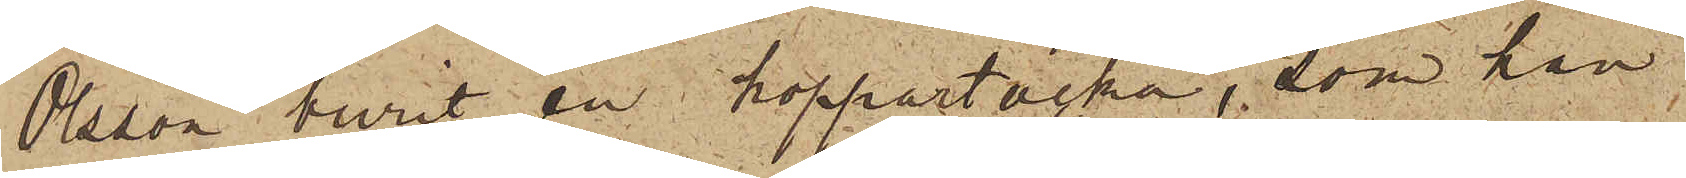Olsson burit en koppartacka, som han
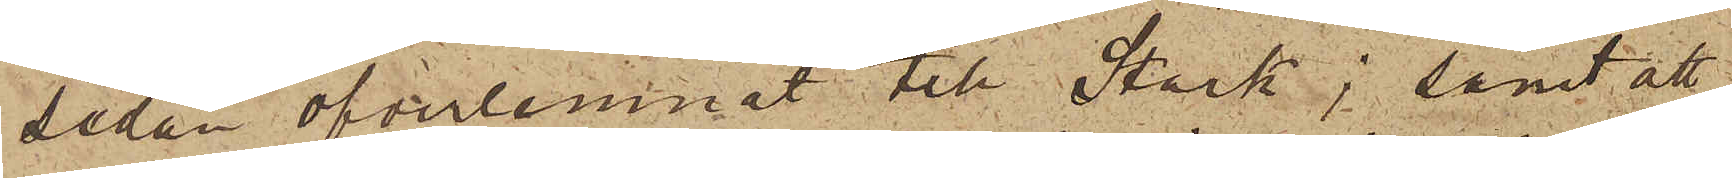sedan öfverlemnat till Stark; samt att
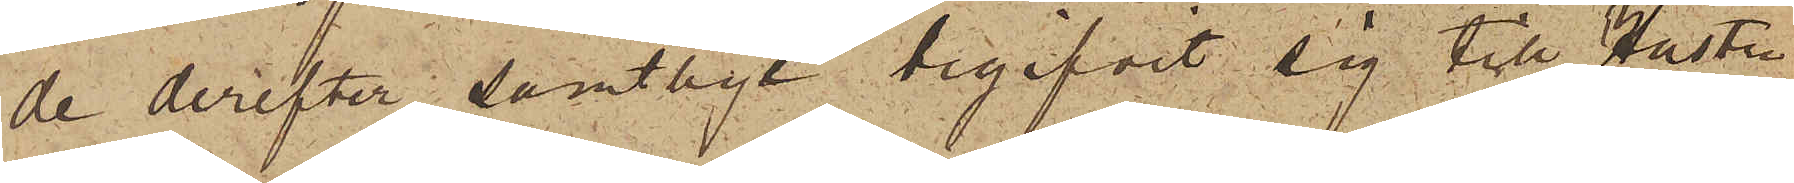de derefter samtlige begifvit sig till Hustrun
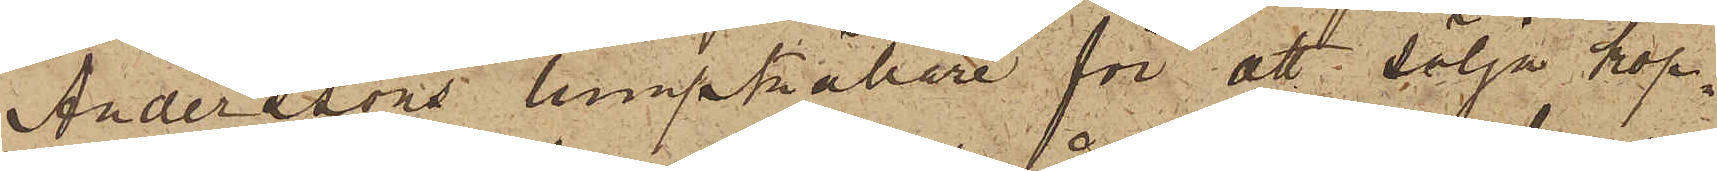Anderssons lumpkällare för att sälja kop¬
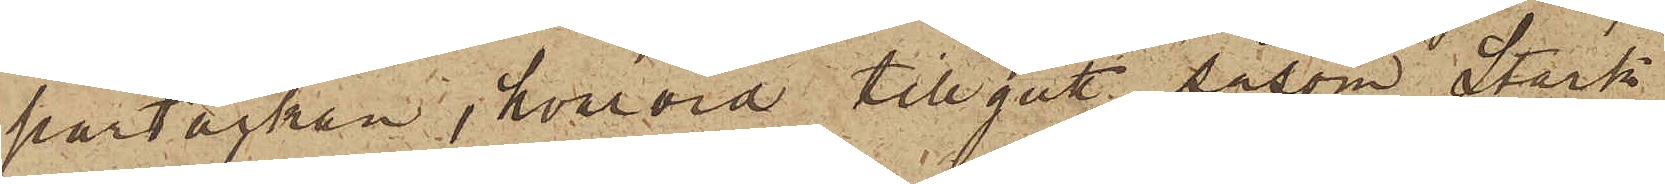partackan, hvarvid tillgått såsom Stark
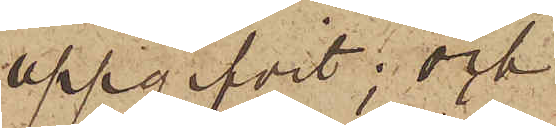uppgifvit; och
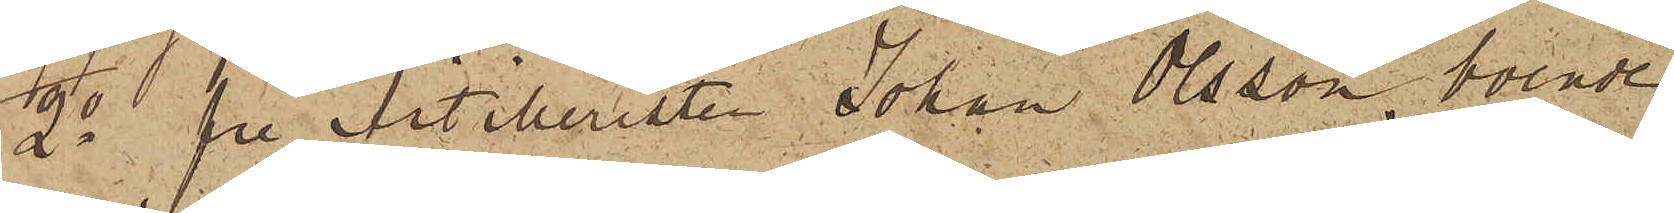2o fre Artilleristen Johan Olsson, boende
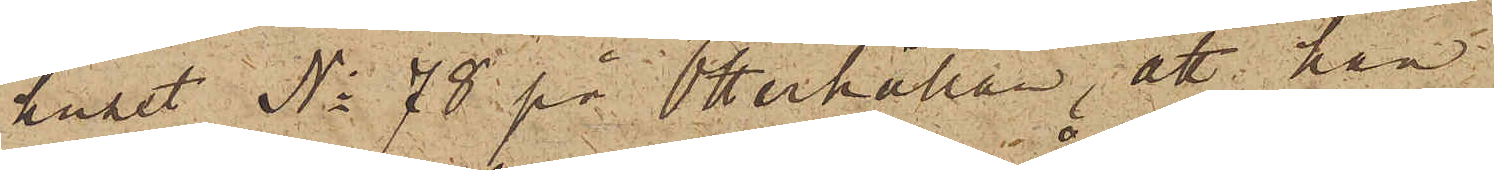huset Ni 78 på Otterhällan, att han
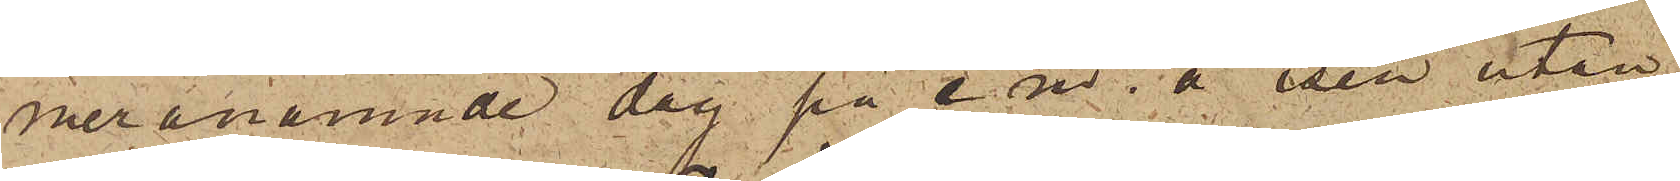meranämnde dag på e m. å isen utan¬
